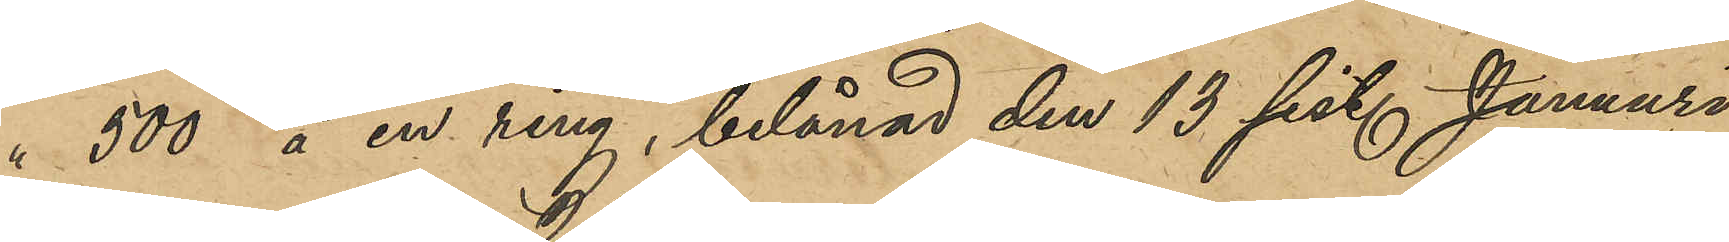" 500 å en ring, belånad den 13 sist. Januari
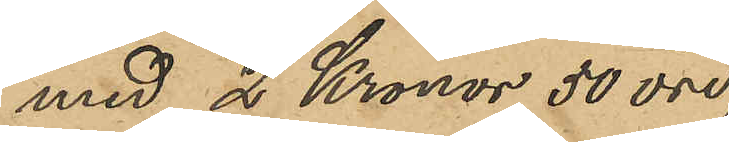med 2 Kronor 50 öre,
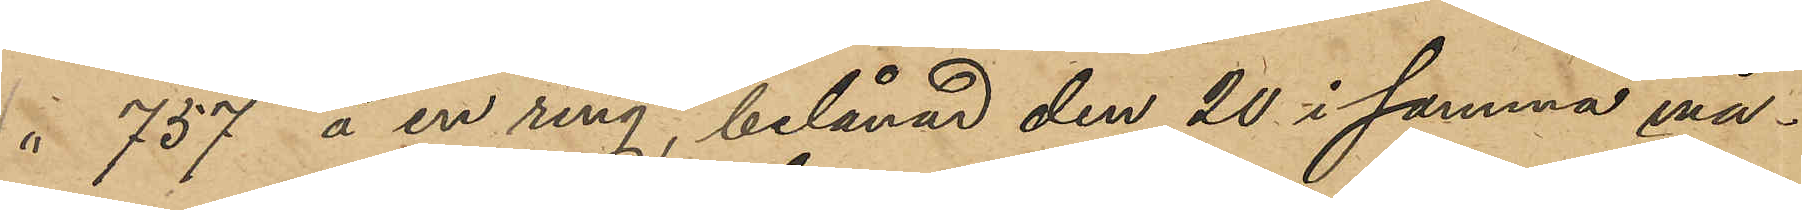" 757 å en ring, belånad den 20 i Januari må¬
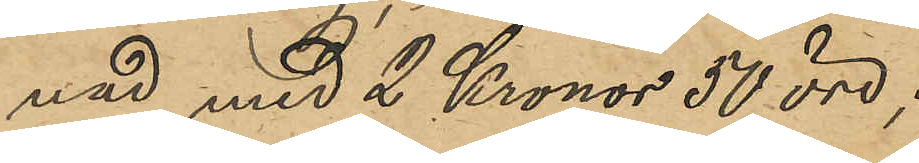nad med 2 Kronor 50 öre;
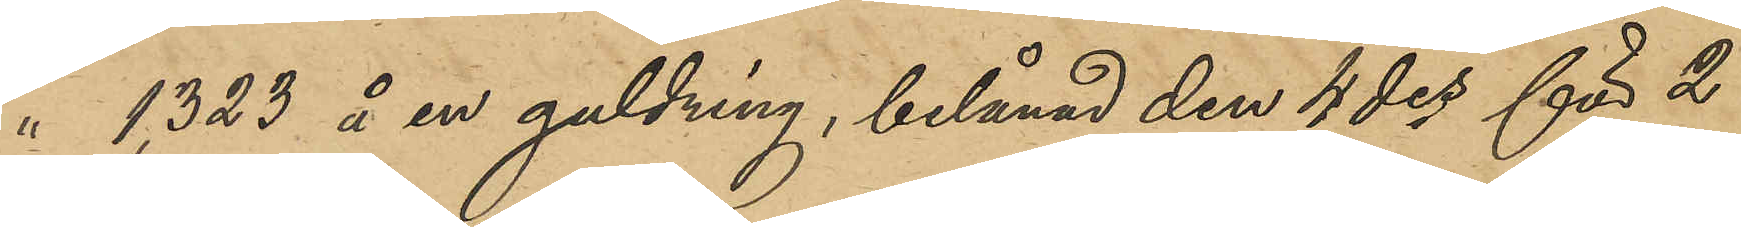" 1,323 å en guldring, belånad den 4 des för 2
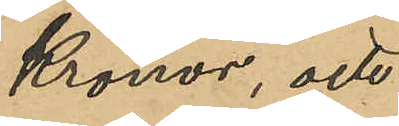Kronor, och
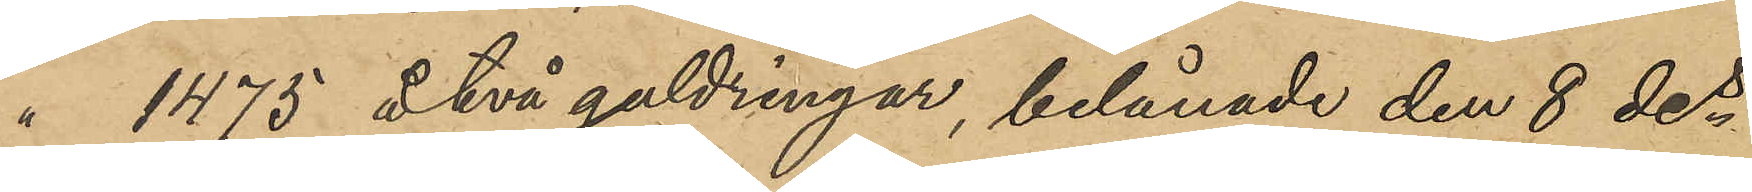" 1475 å två guldringar, belånade den 8 des
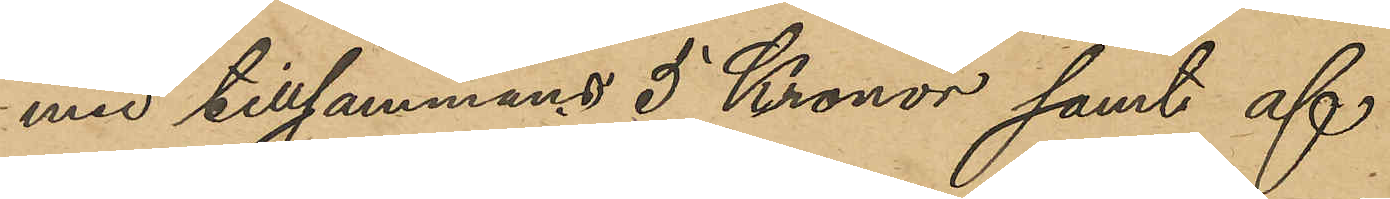med tillsammans 5 Kronor samt af
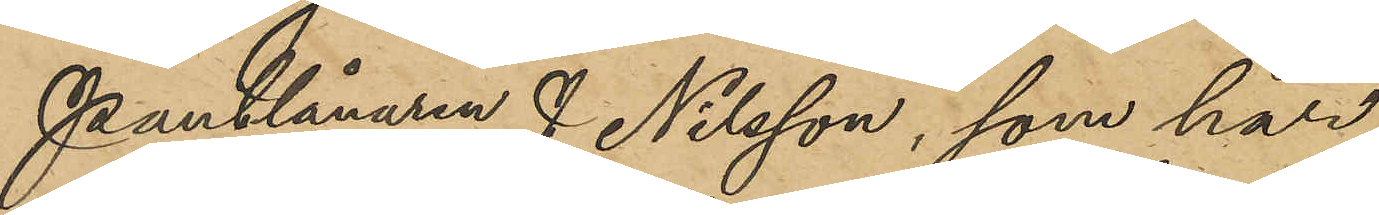Pantlånaren J. Nilsson, som har
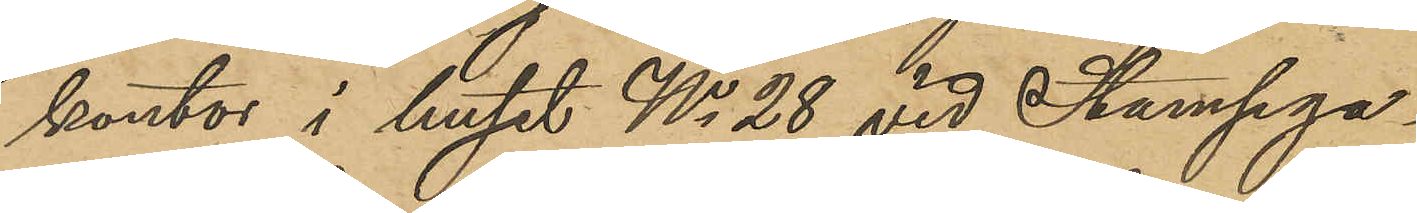kontor i huset No 28 vid Stampga¬
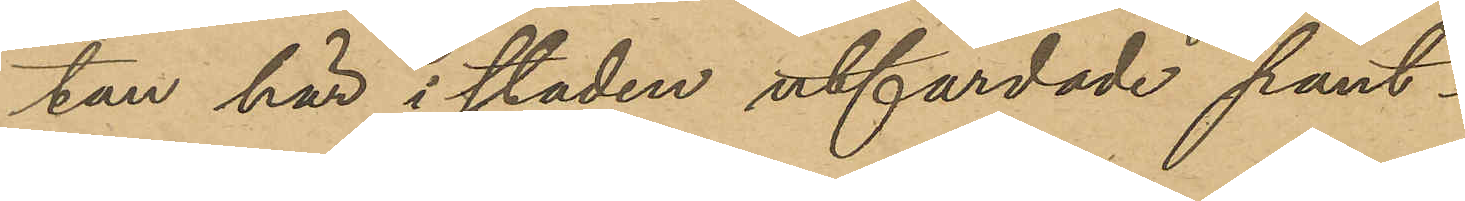tan här i staden utfärdade pant¬
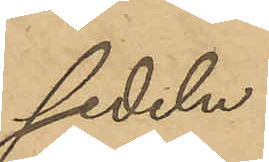sedeln
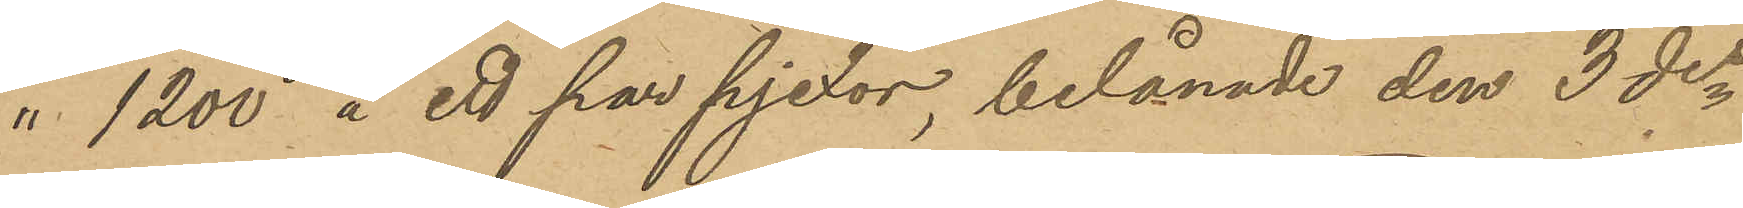" 1200 å ett par pjexor, belånade den 3 des
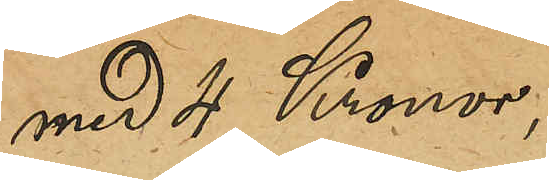med 4 Kronor,
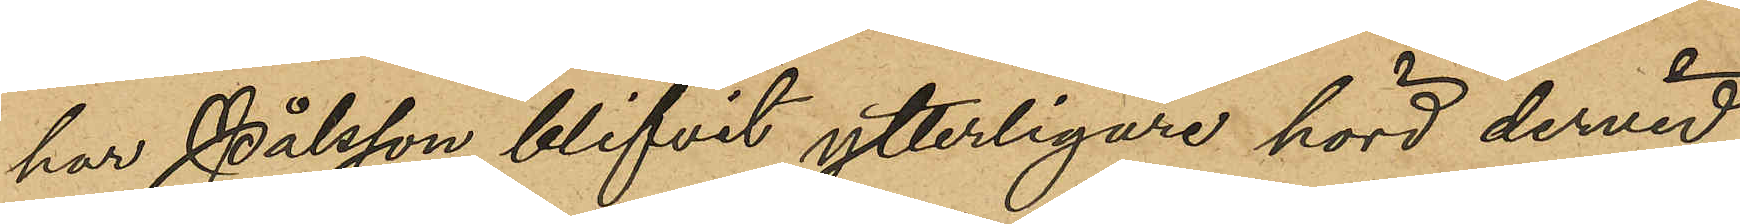har Pålsson blifvit ytterligare hörd dervid
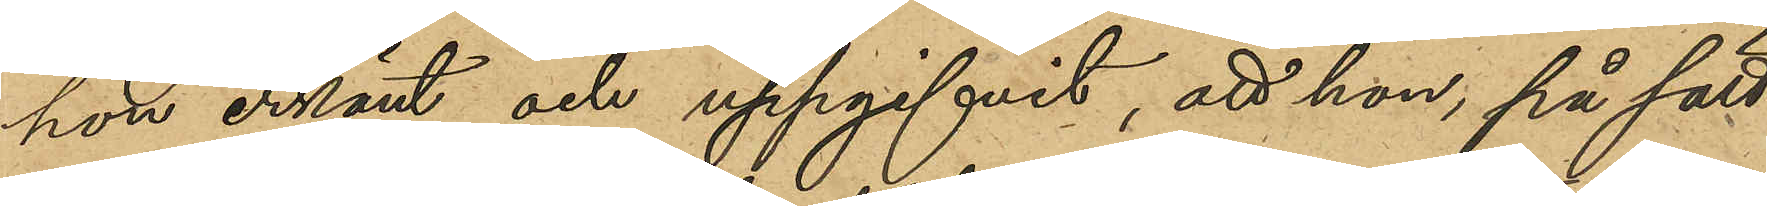hon erkänt och uppgifvit, att hon, på sätt
